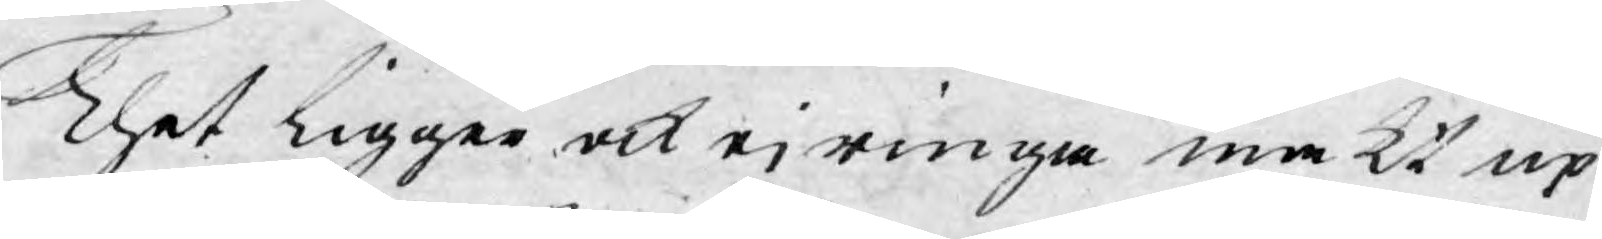Thet ligger ock ej ringa makt up¬
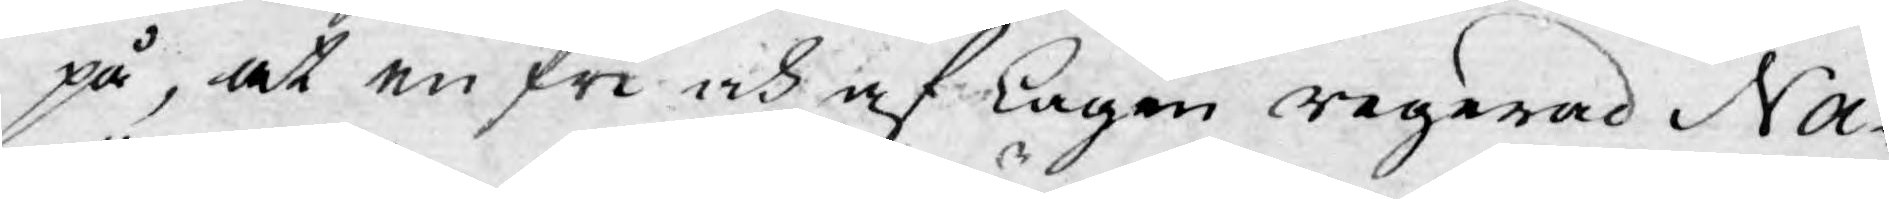på, at en fri och af Lagen regerad Na¬
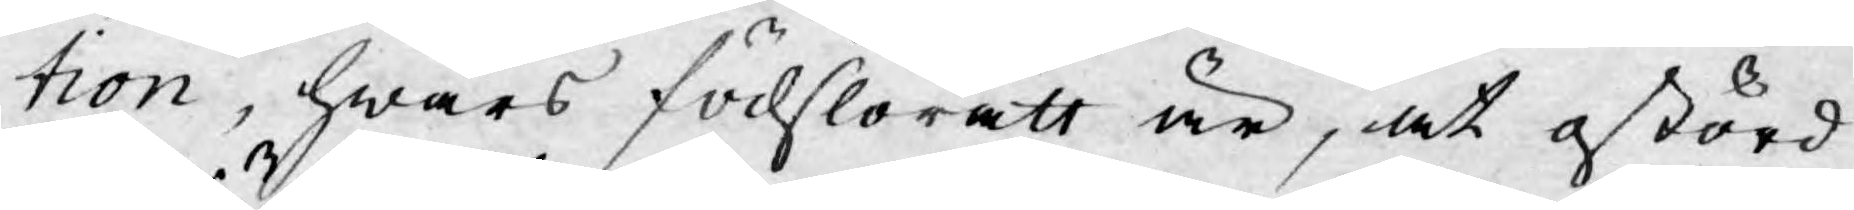tion, hwars födslorätt är, at ostörd
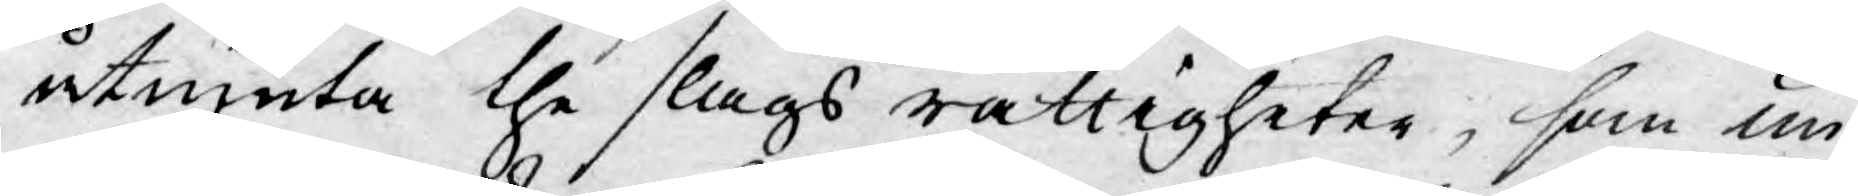åtniuta the slags rättigheter, som un¬
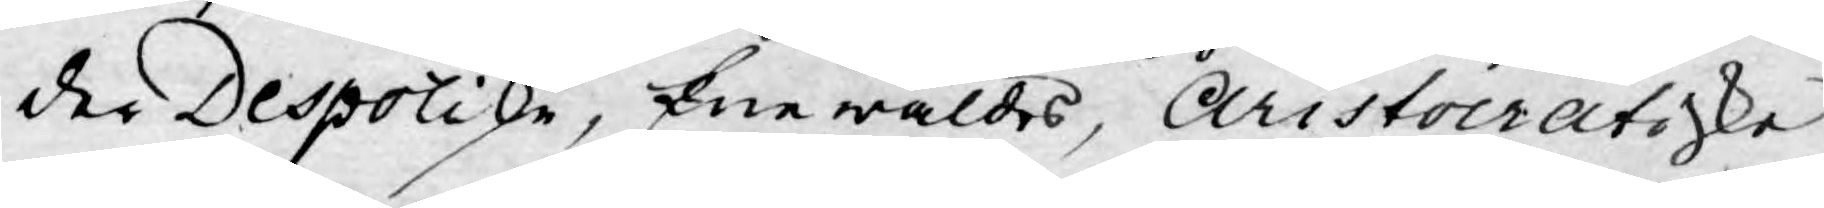der Despotiska, Enewåldes, Aristocratiske
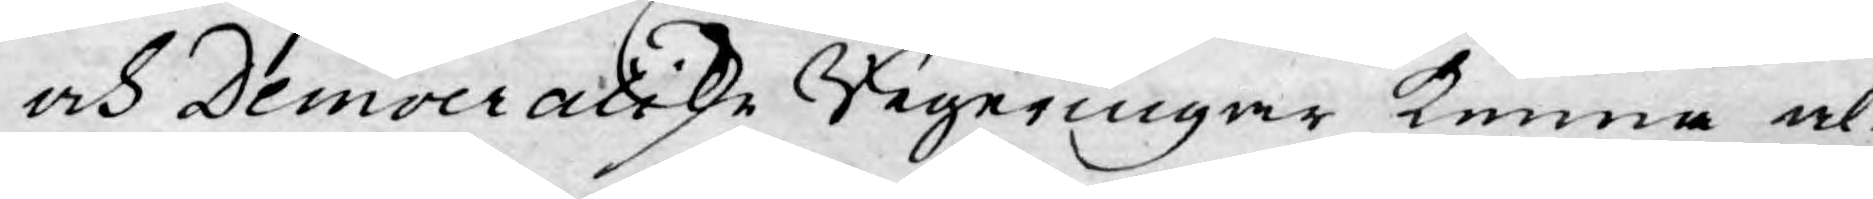och Democratiske Regeringar kunna al-
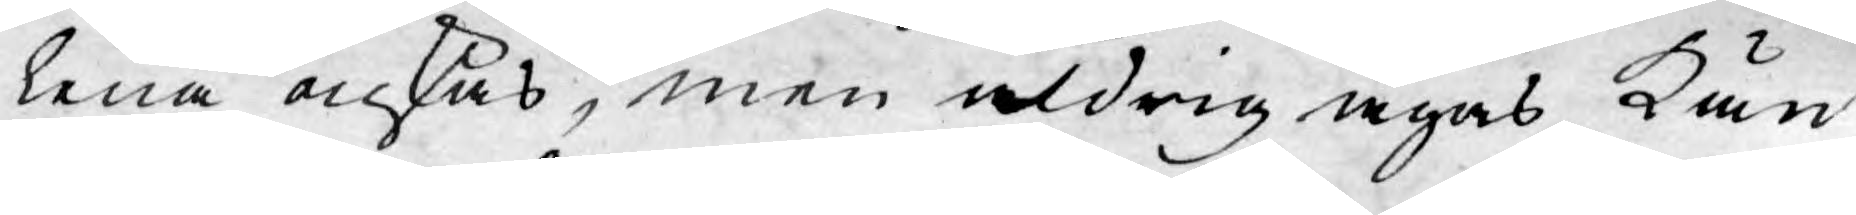lena önskas, men aldrig ägas, kän¬
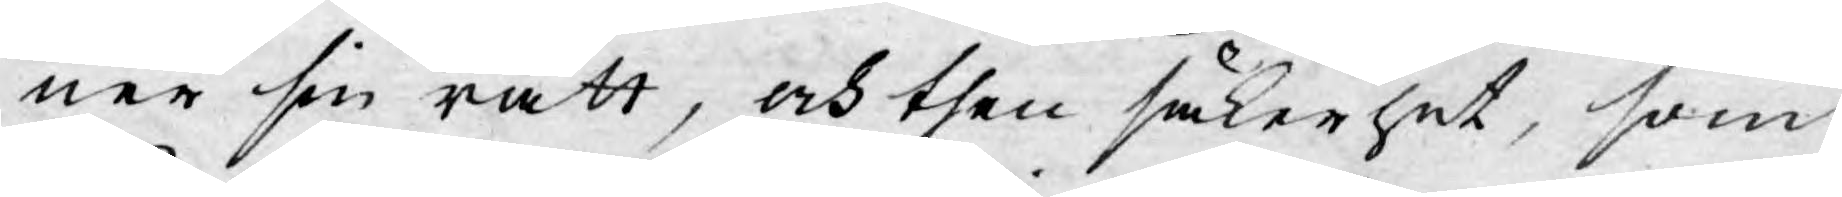ner sin rätt, och then säkerhet, som
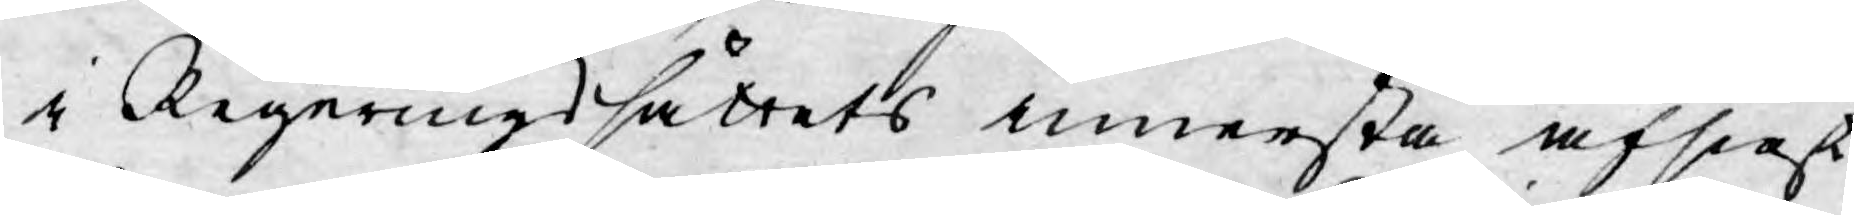i Regeringssättets innersta afsigst
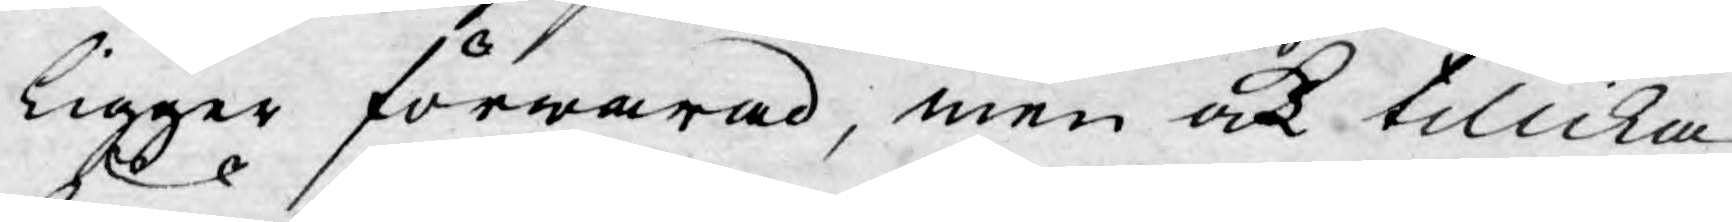ligger förwarad, men ock tillika
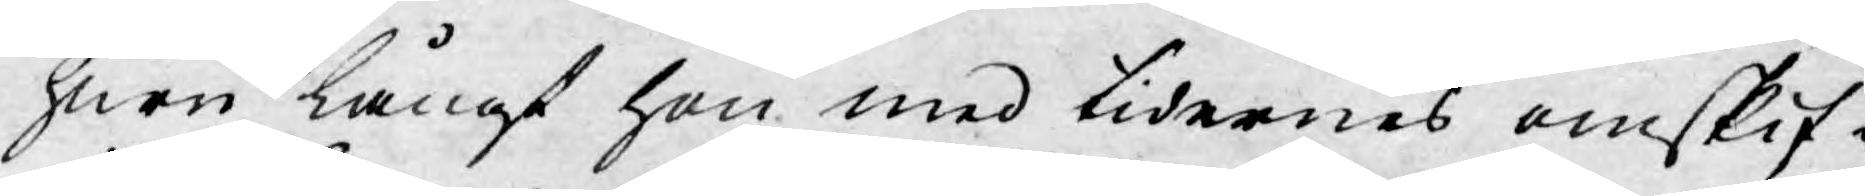huru långt hon med tidernes omskif¬
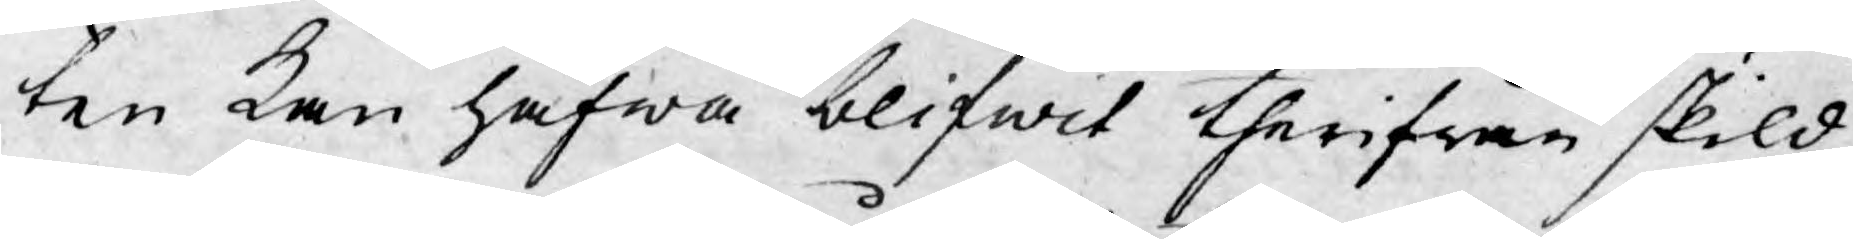ten kan hafwa blifwit therifrån skild,
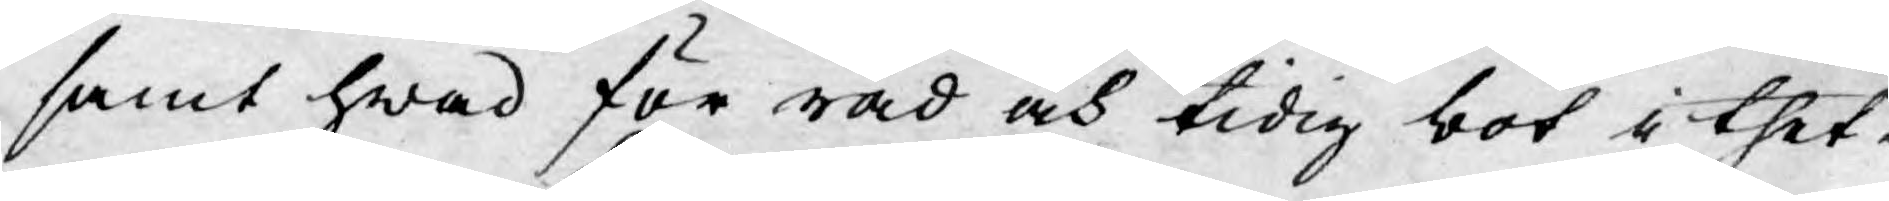samt hwad för råd och tidig bot i thet¬
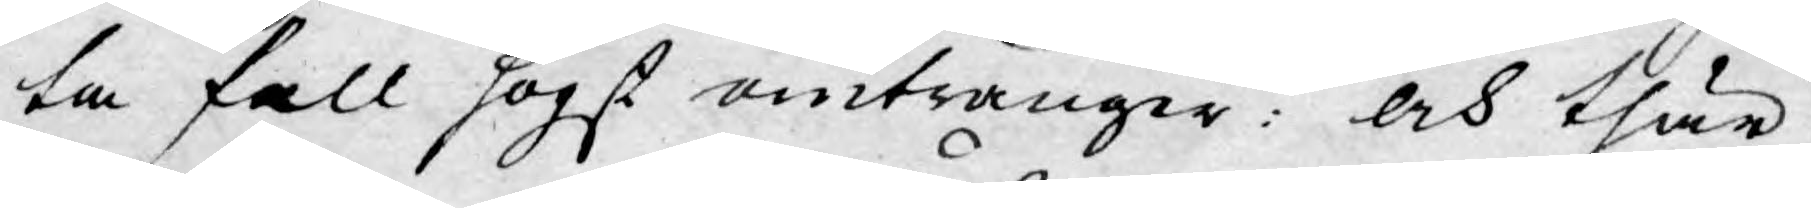ta fall högst omtränger: och thär¬
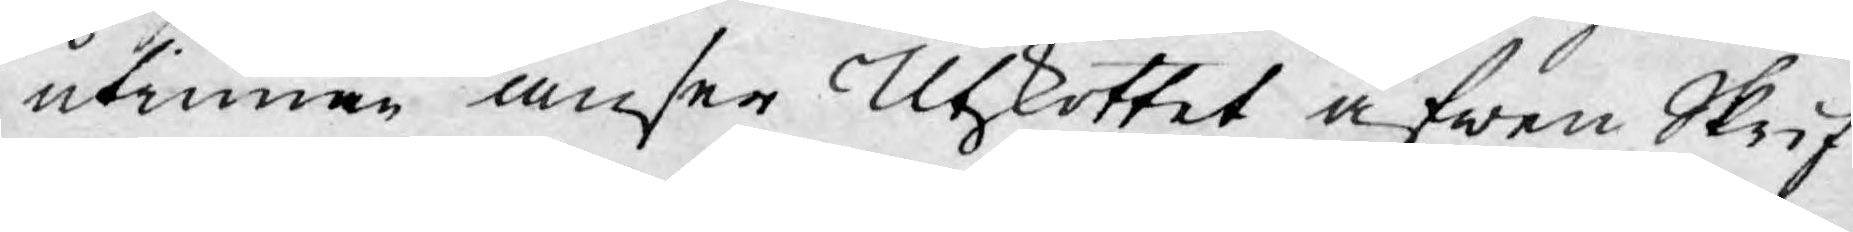utinnan anser Utskottet äfwen Skrif¬
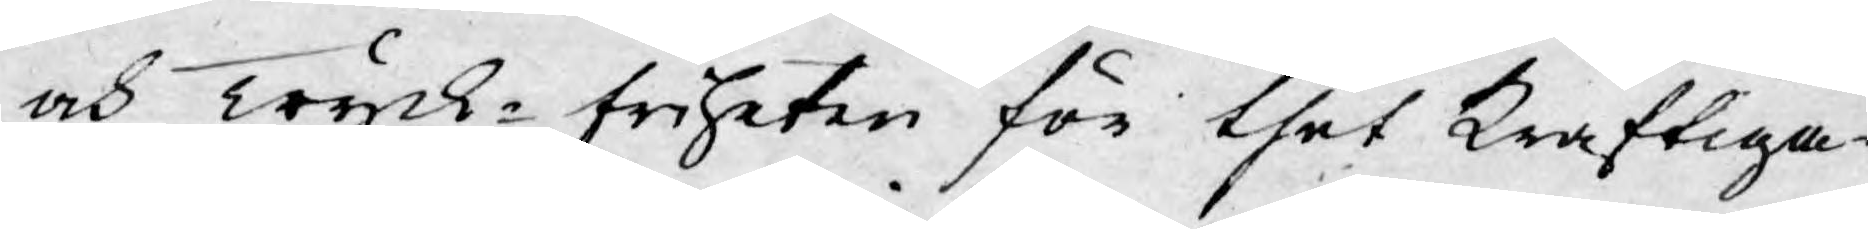och Tryck-friheten för thet kraftiga¬
